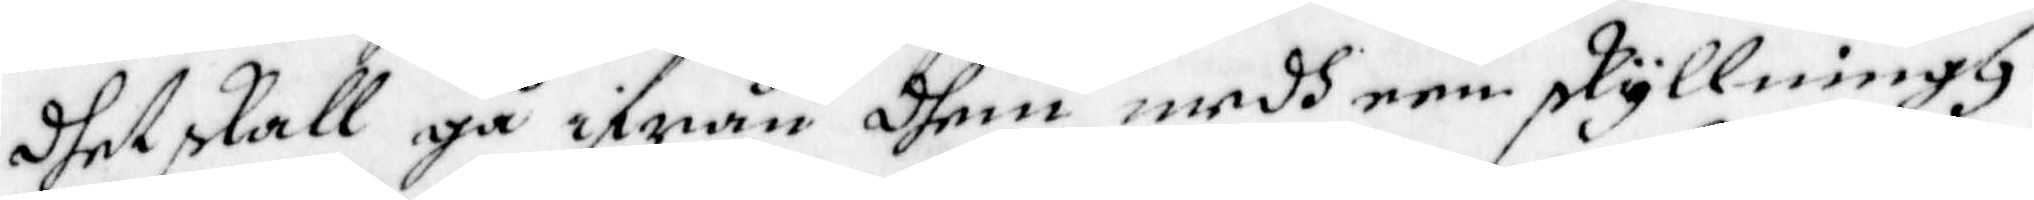dhet skall gå ifrån dhem medh een skyllningh.
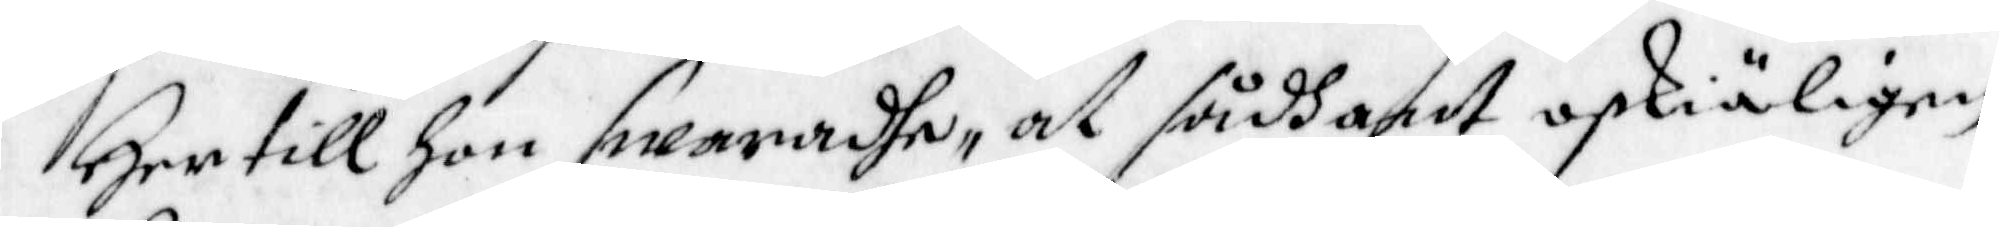Her till hon swaradhe, at sådhant oskiäligen
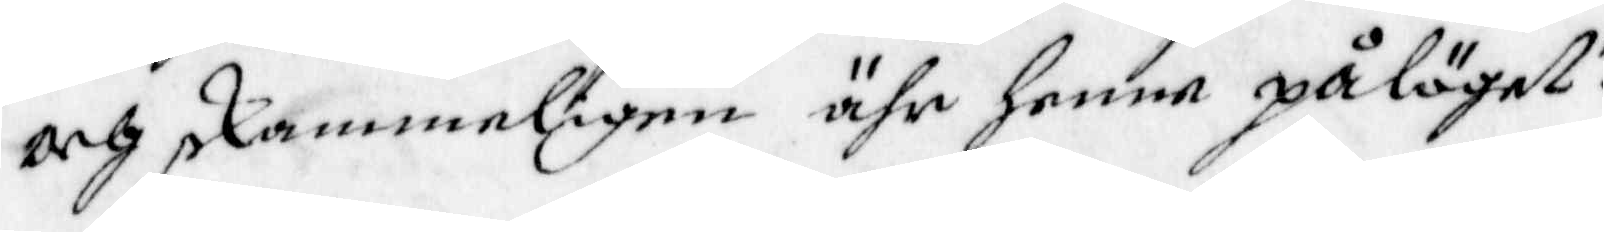och skammeligen ähr henne påläget.
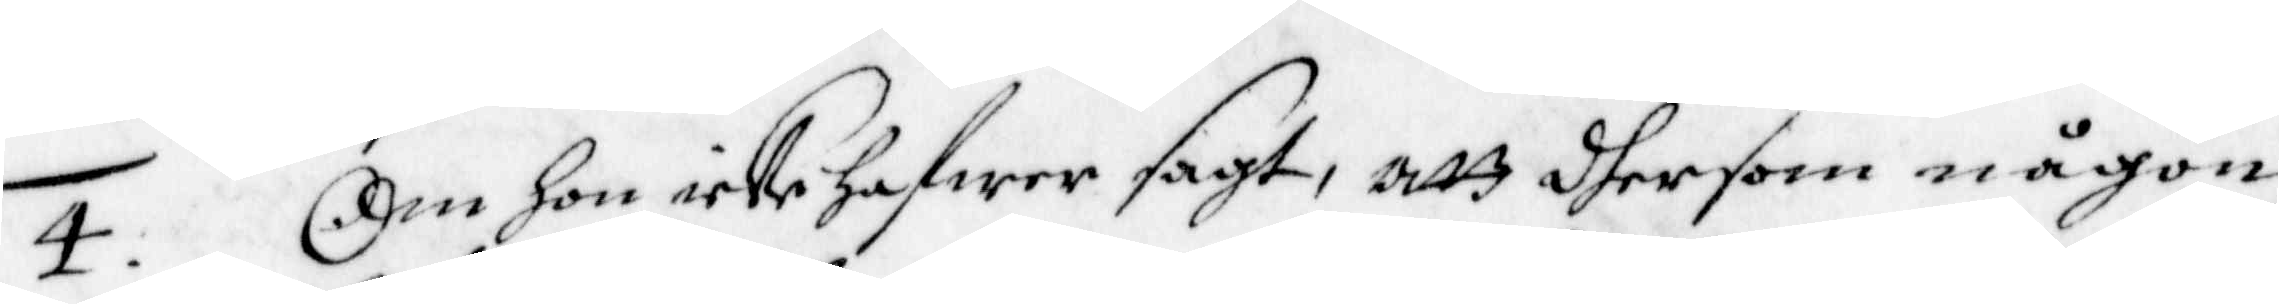4. Om hon icke hafwer sagt, att dher som någon
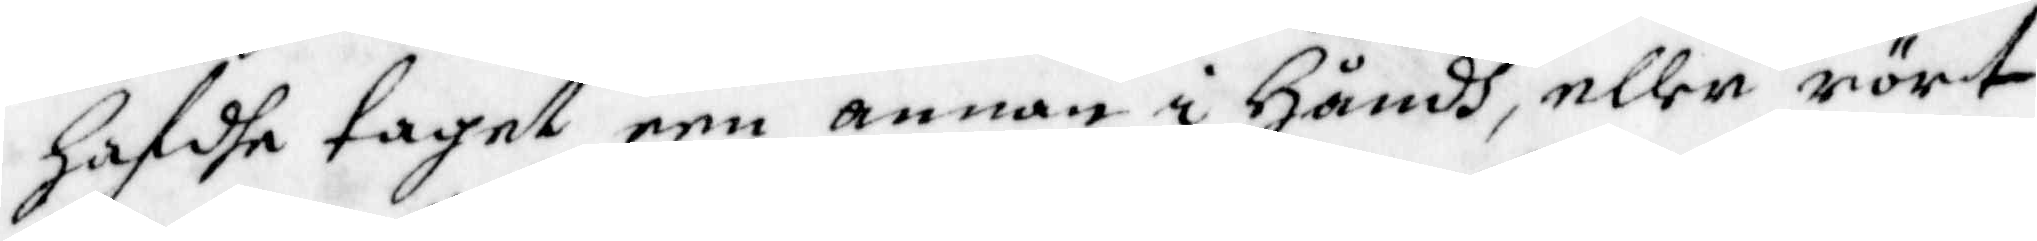hafdhe taget een annan i Håndh, eller rört
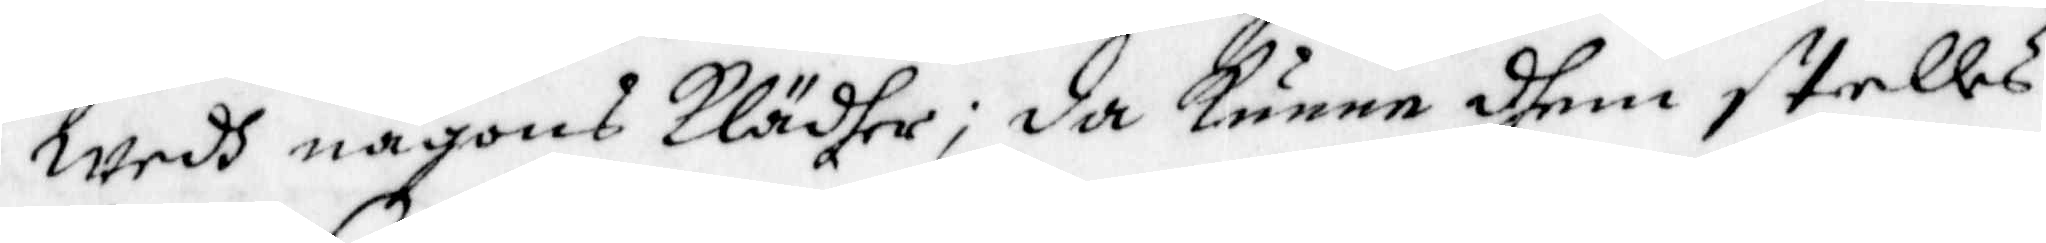wedh någons Klädher; da kunne dhem stelles
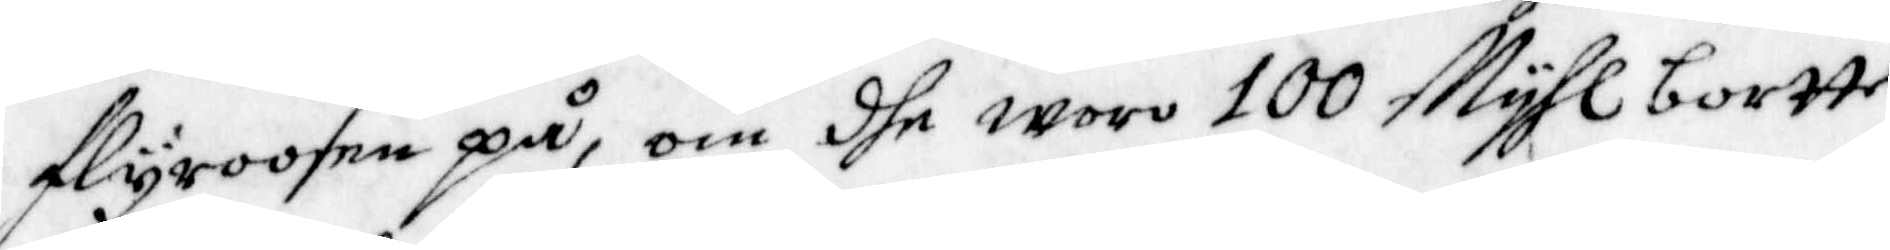flyroosen på, om dhe woro 100 Myhl bortte
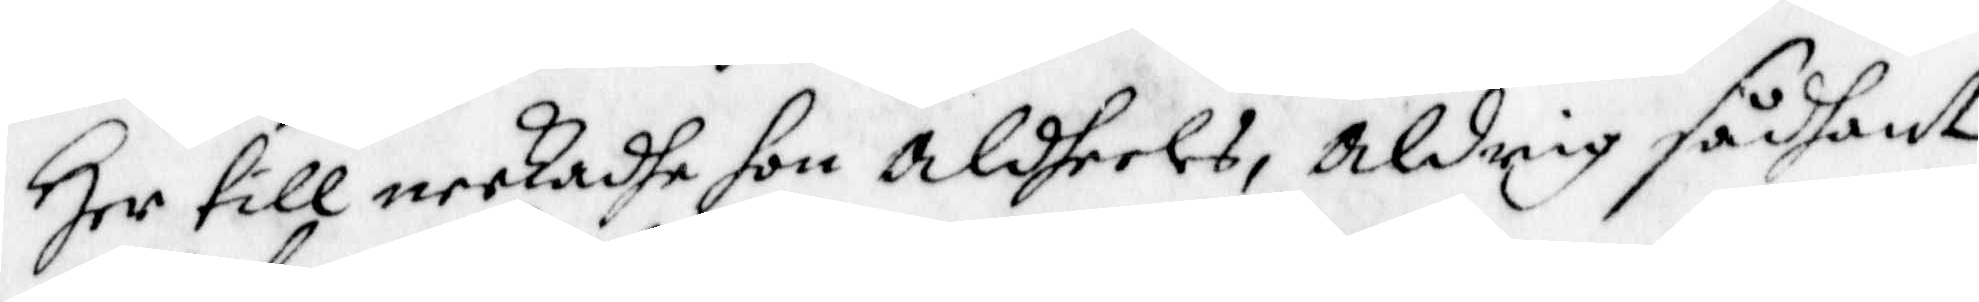Her till neekadhe hon aldeles, aldrig sådant
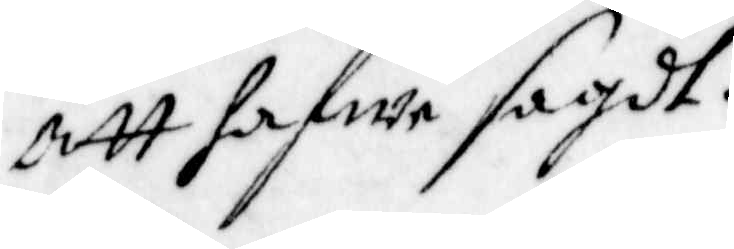att hafwa sagdt.
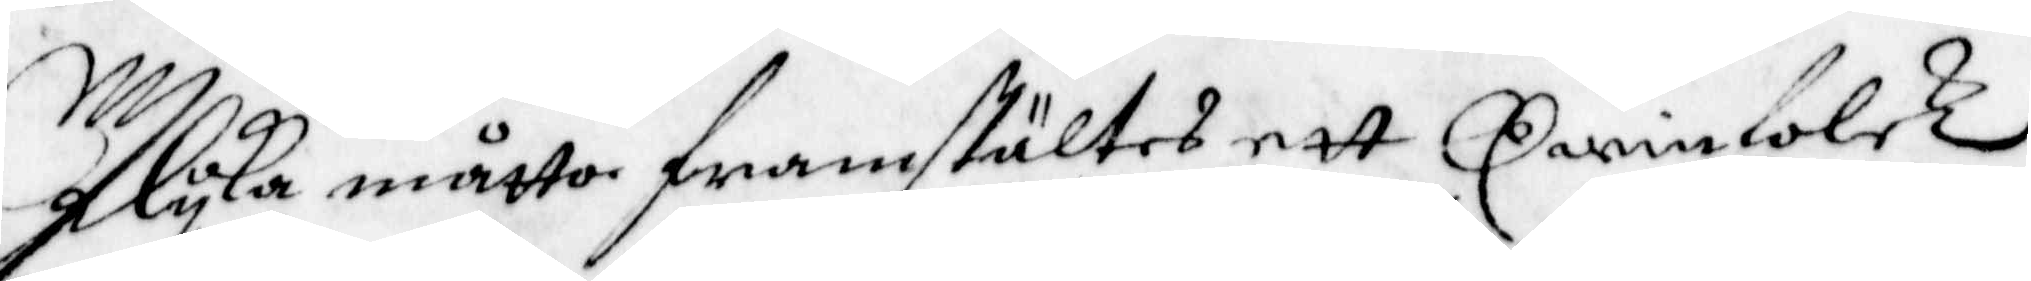Ilyka måtto framstältes ett Qwinfolck
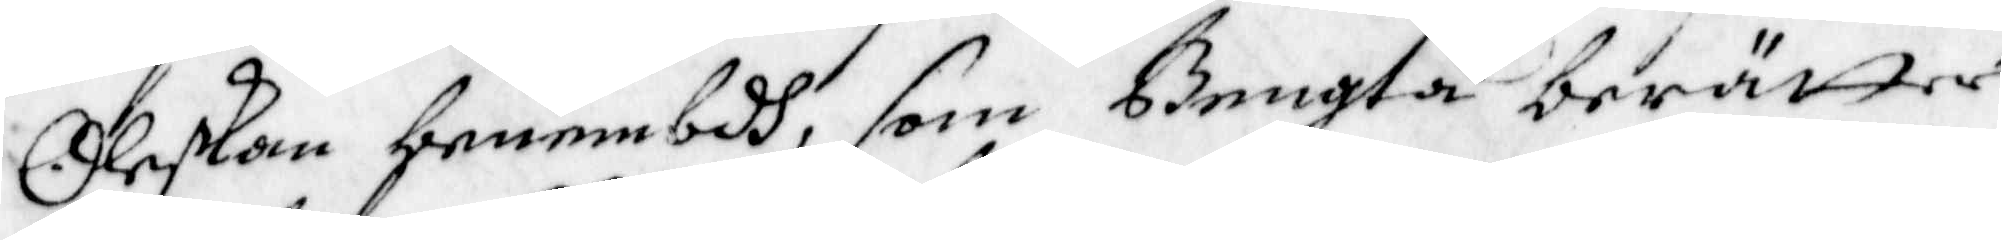Oleskan benembdh, som Bengta berätter
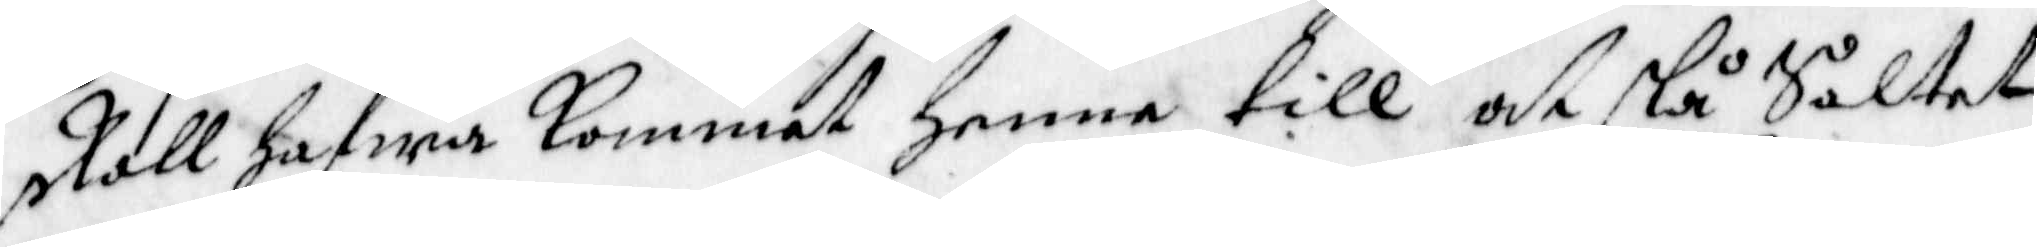skall hafwa kommit henne till at slå Saltet
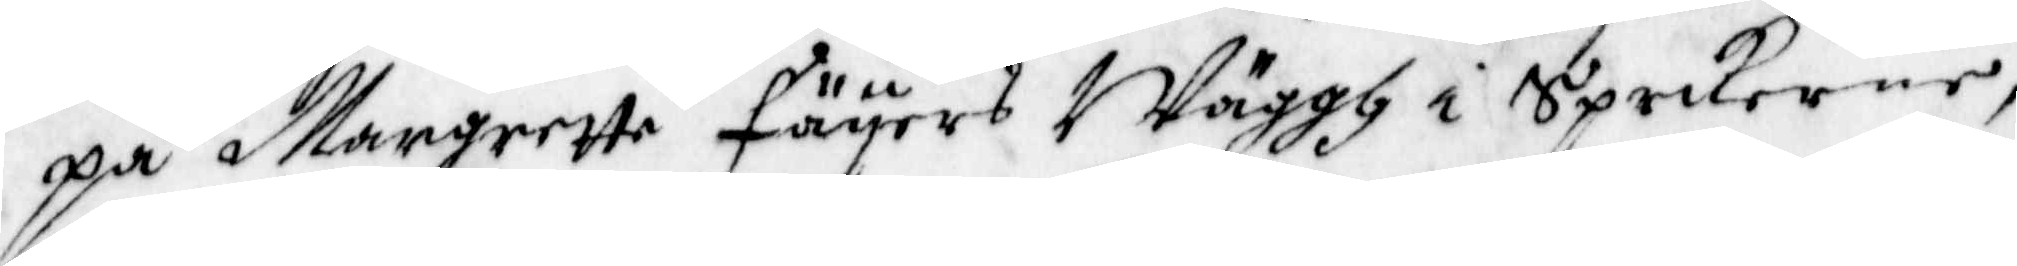på Margrette Fäyers Wäggh i Sprikerne,
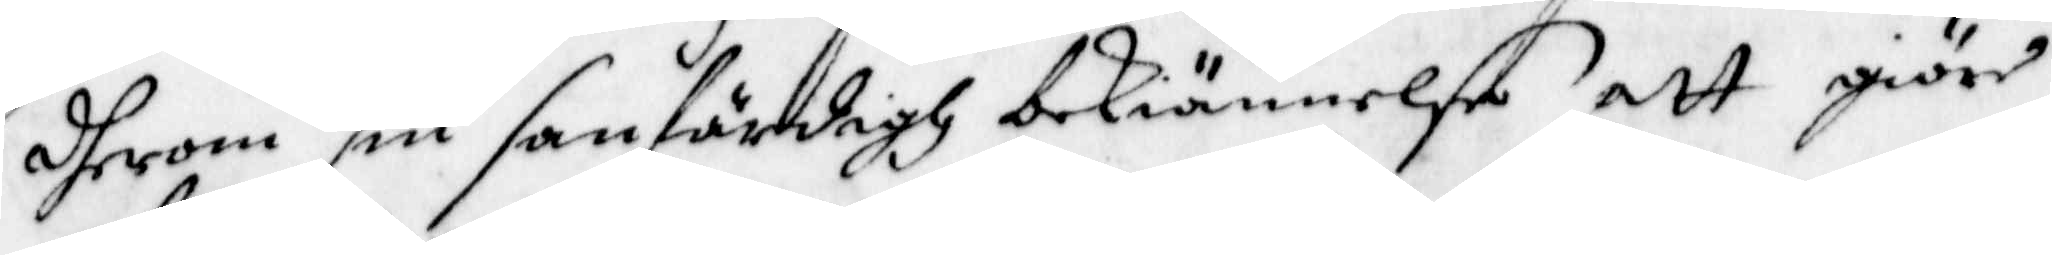dherom sin sanfärdigh bekiännelse att giöre
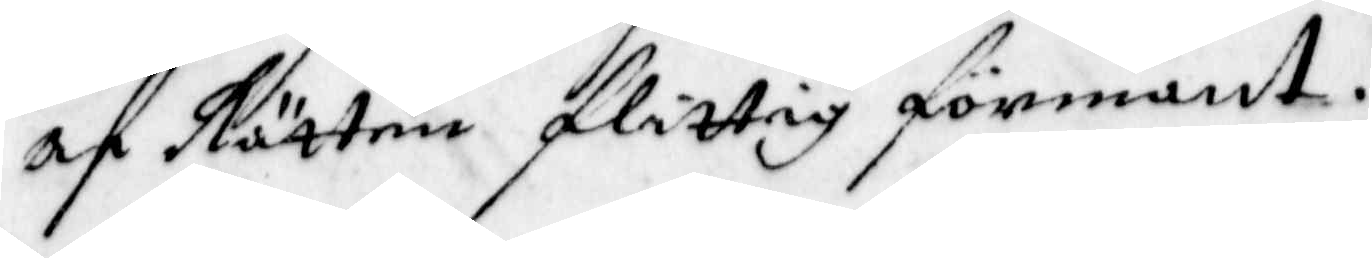af Rätten flittig förmant.
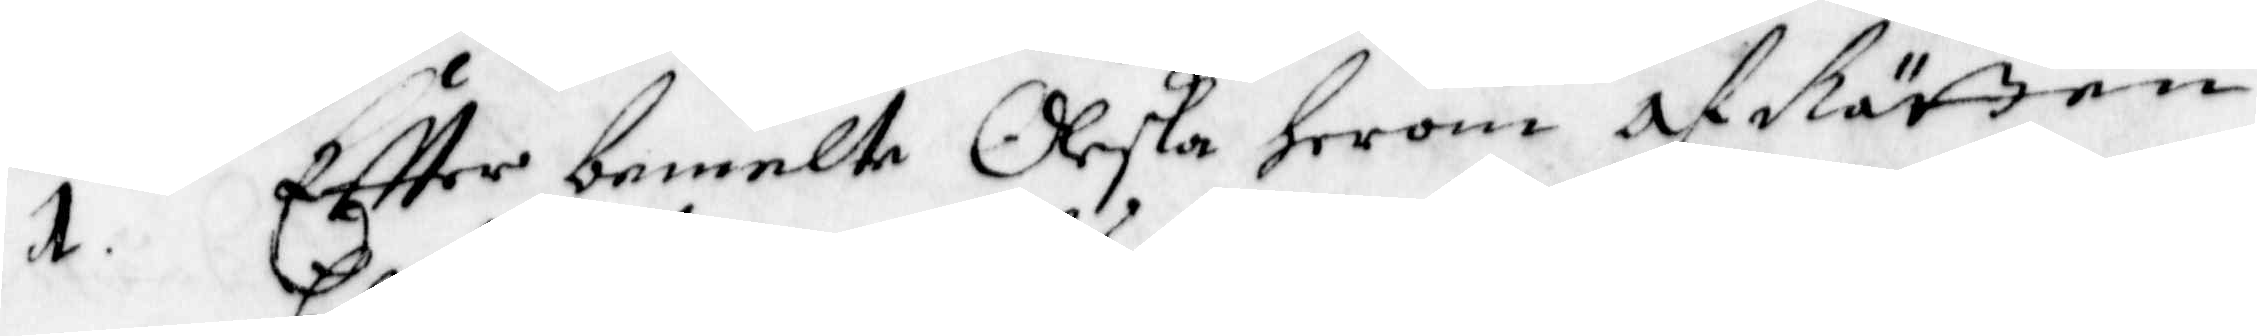1. Eftter bemelte Oleska herom af Rätten
